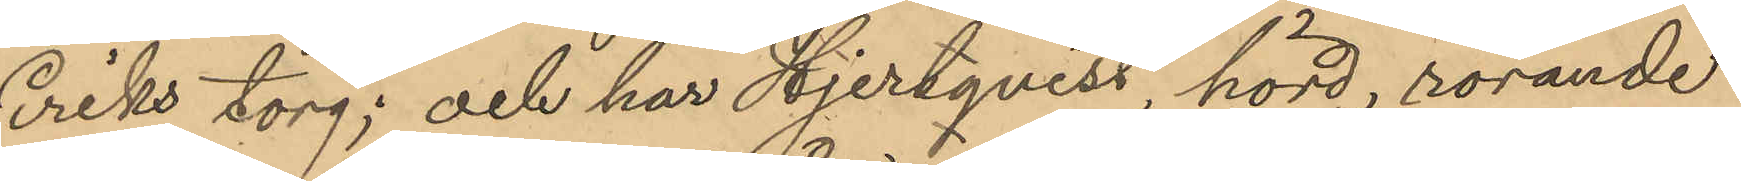Eriks torg; och har Hjertqvist, hörd, rörande
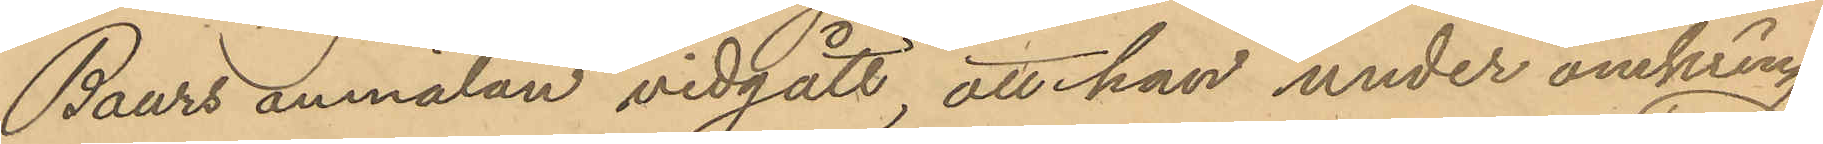Baurs anmälan vidgått, att han under omkring
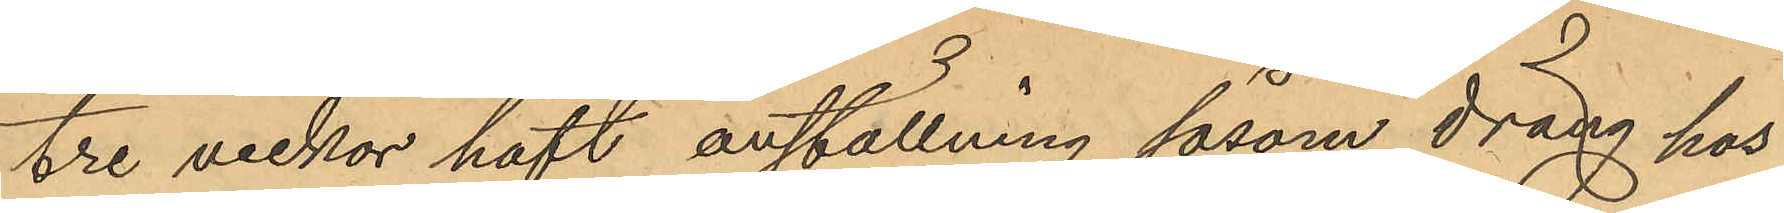tre veckor haft anställning såsom dräng hos
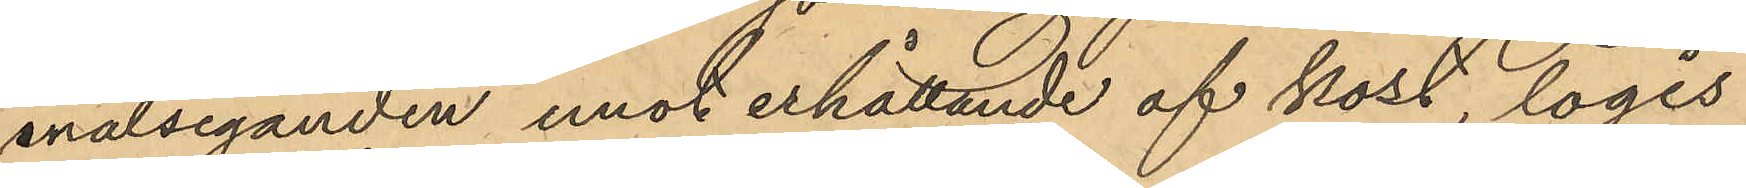målseganden emot erhållande af kost, logis
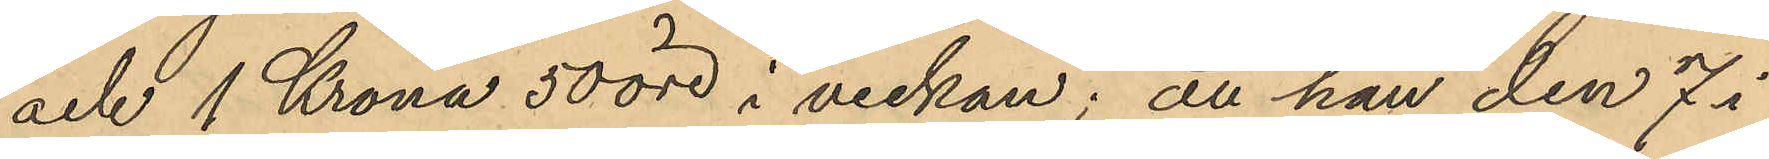och 1 Krona 50 öre i veckan; att han den 7 i
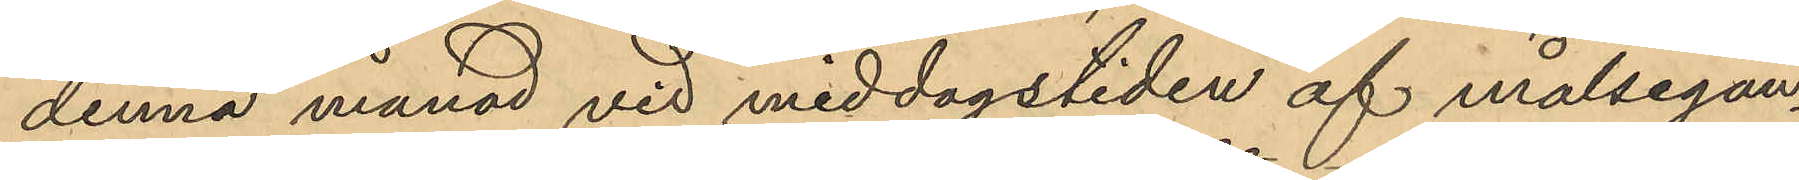denna månad vid middagstiden af målsegan¬
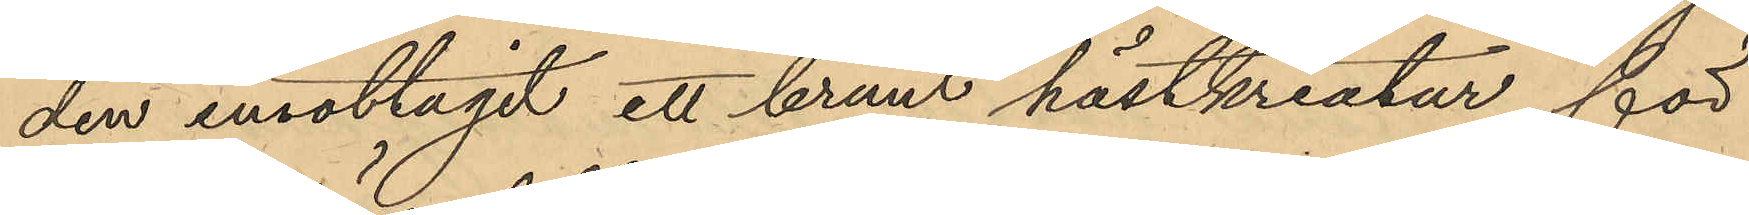den emottagit ett brunt hästkreatur för
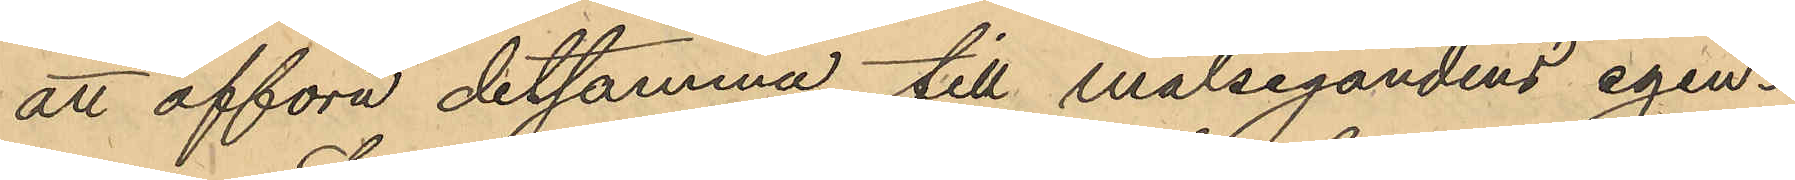att afföra detsamma till målsegandens egen¬
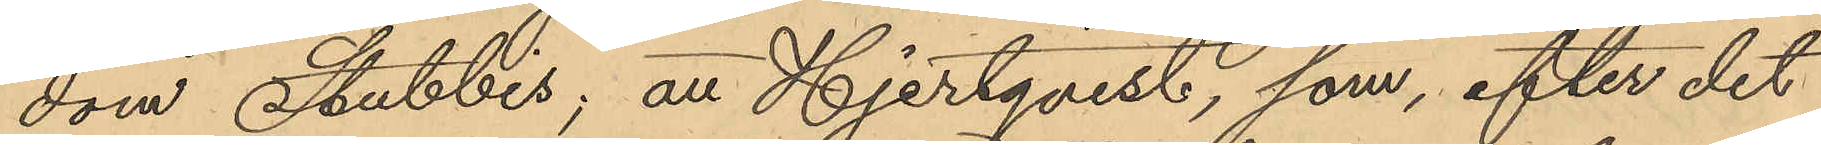dom Stubbis; att Hjertqvist, som, efter det
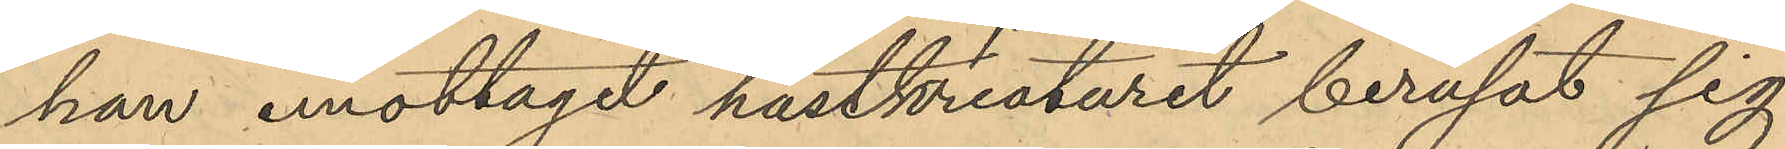han emottagit hästkreaturet berusat sig
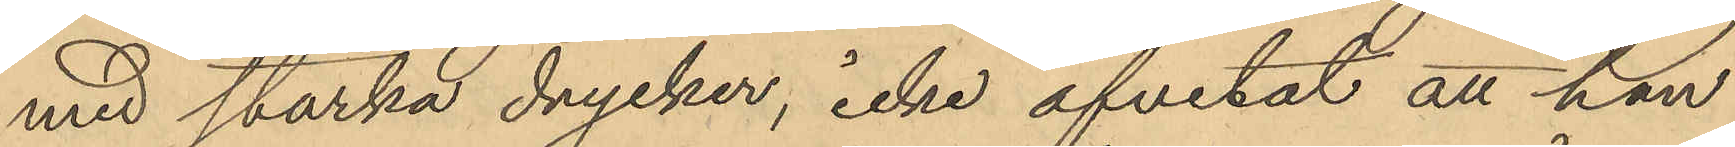med starka drycker, icke afvetat att han
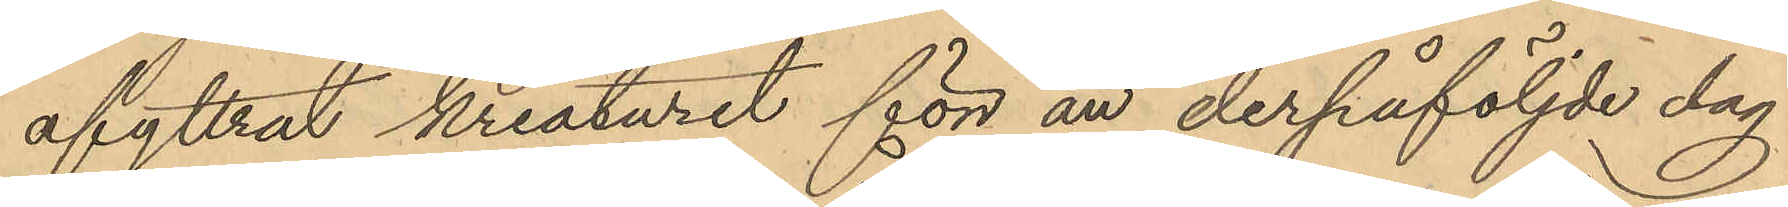afyttrat kreaturet för än derpåföljde dag
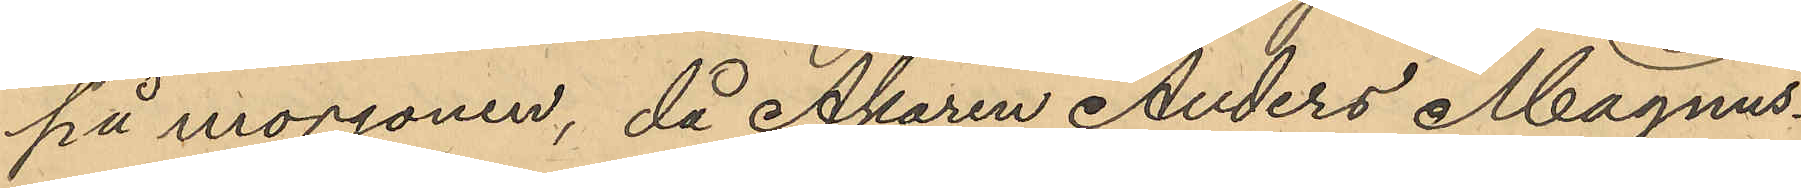på morgonen, då Åkaren Anders Magnus¬
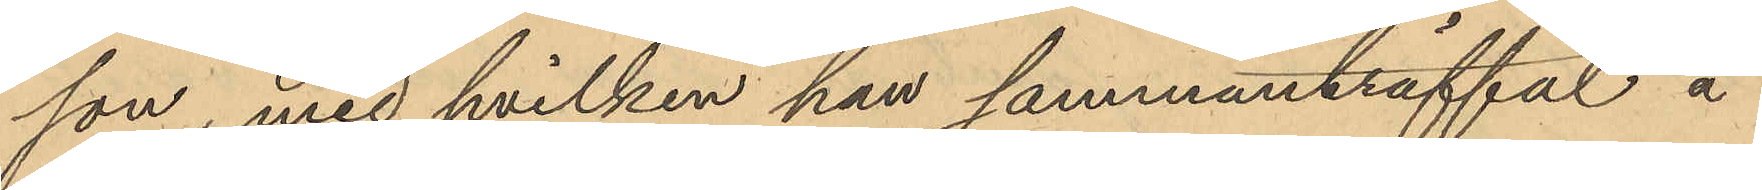son, med hvilken han sammanträffat å
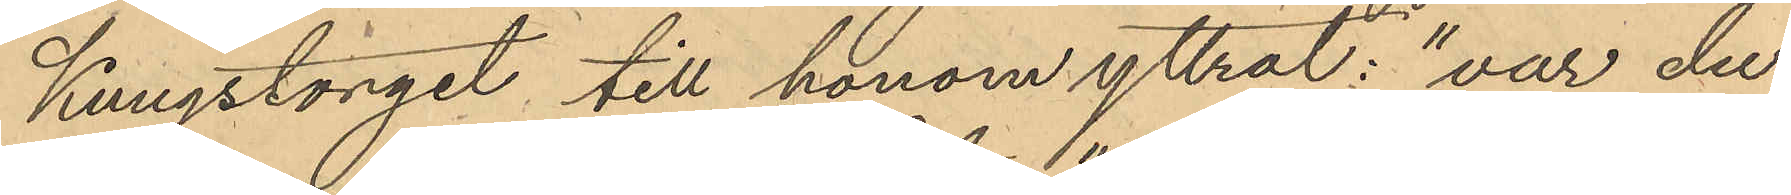Kungstorget till honom yttrat: "var du
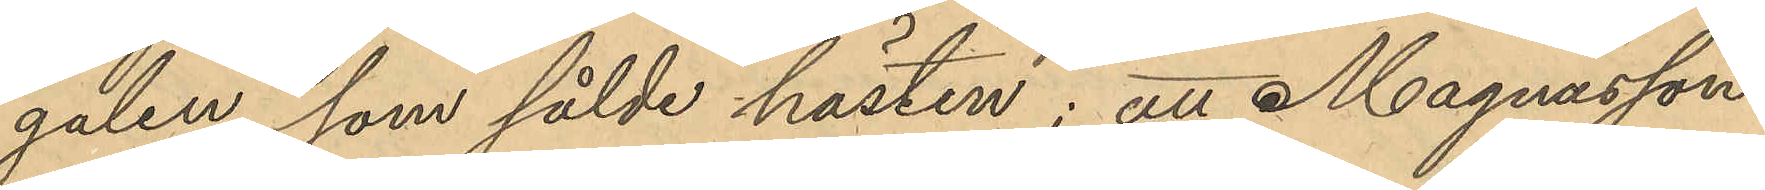galen, som sålde hästen"; att Magnusson
